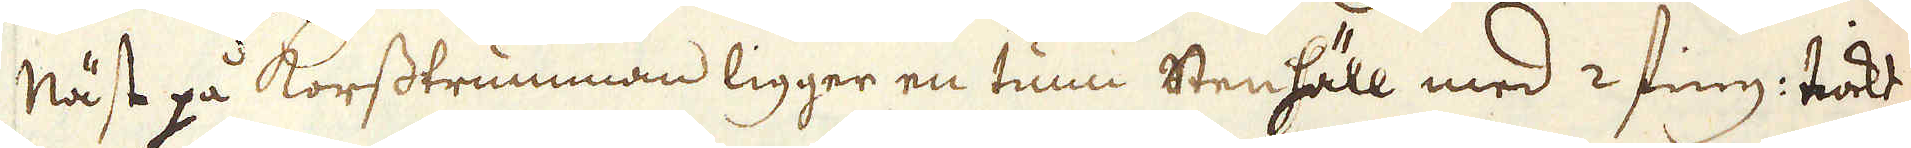näst på korsstrumman ligger en tunn stenhäll med 2 fing: tiokt
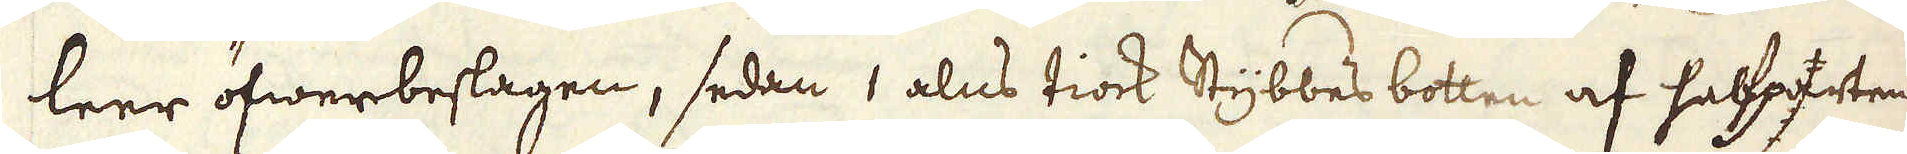leer öfwerbeslagen, sedan 1 alns tiock stybbes botten af halfparten
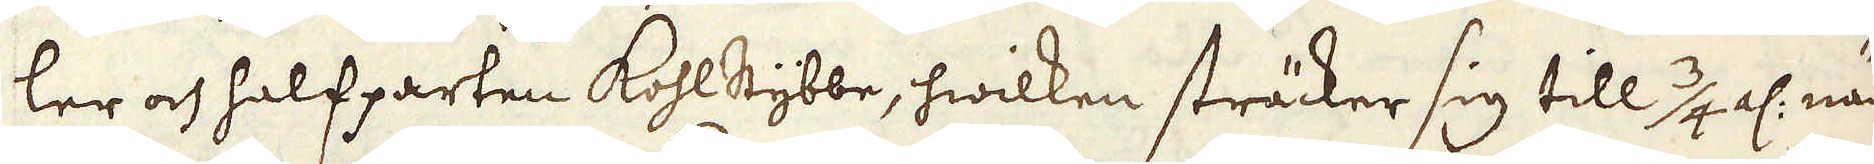ler och halfparten Kohlstybbe, hwilken sträcker sig till 3/4 al: när
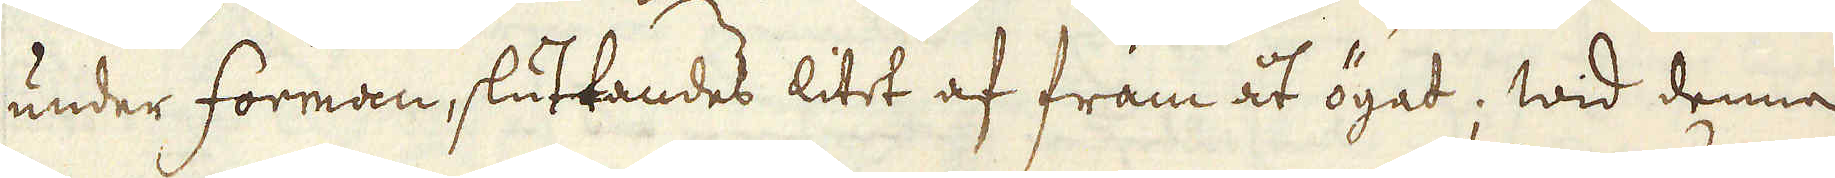under forman, sluttandes litet af fram åt ögat; wid denna
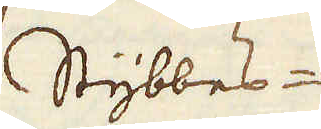Stybbes-
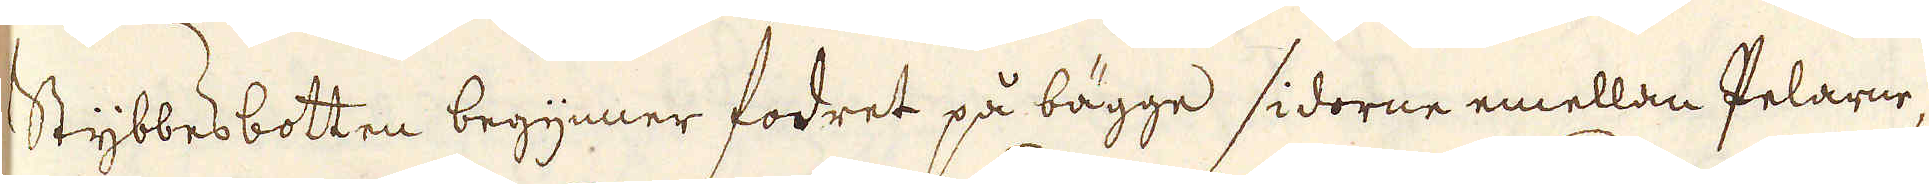Stybbesbotten begynner fodret på bägge sidorne emellan Pelarne,
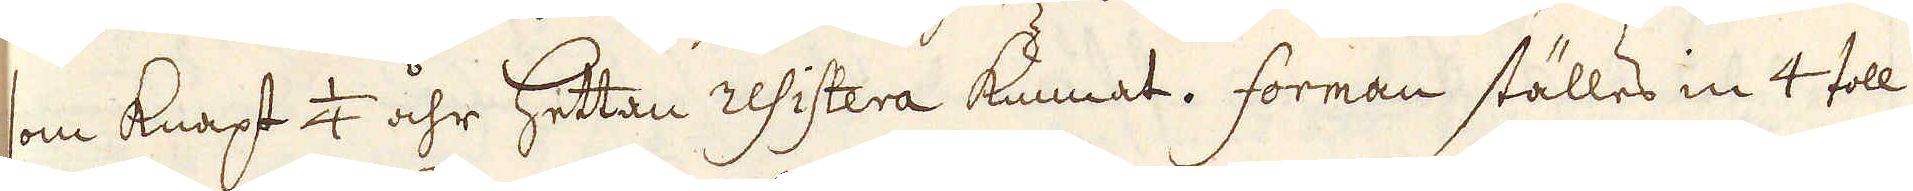som knapt 1/4 åhr hettan resistera kunnat. Forman ställes in 4 toll
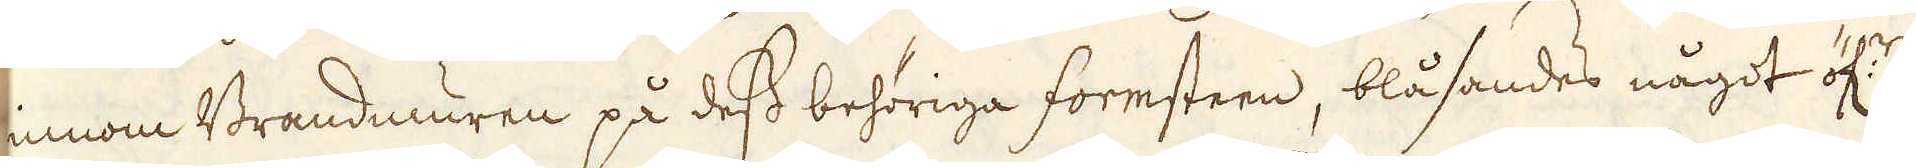innom Brandmuren på dess behöriga formsteen, blåsandes något öf:r
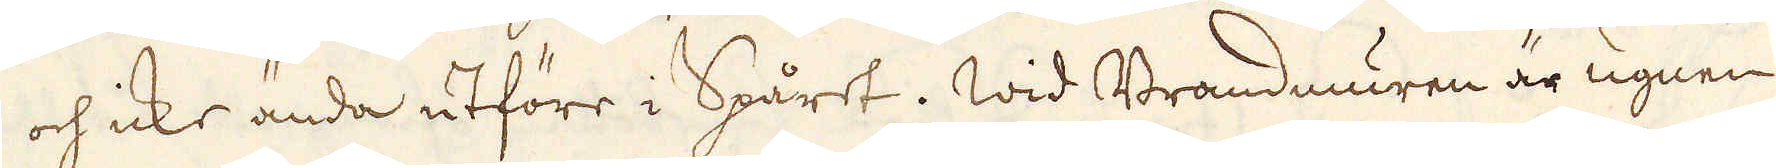sig och icke ända utföre i Spåret. Wid Brandmuren är ugnen
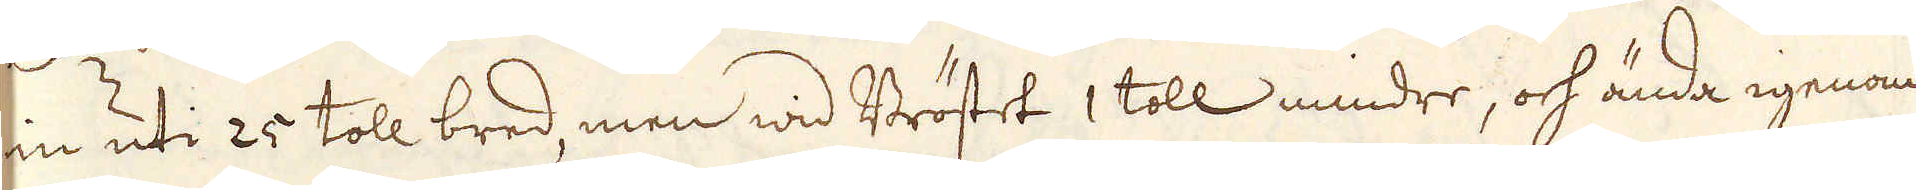in uti 25 toll bred, men wid Bröstet 1 toll mindre, och ända igenom
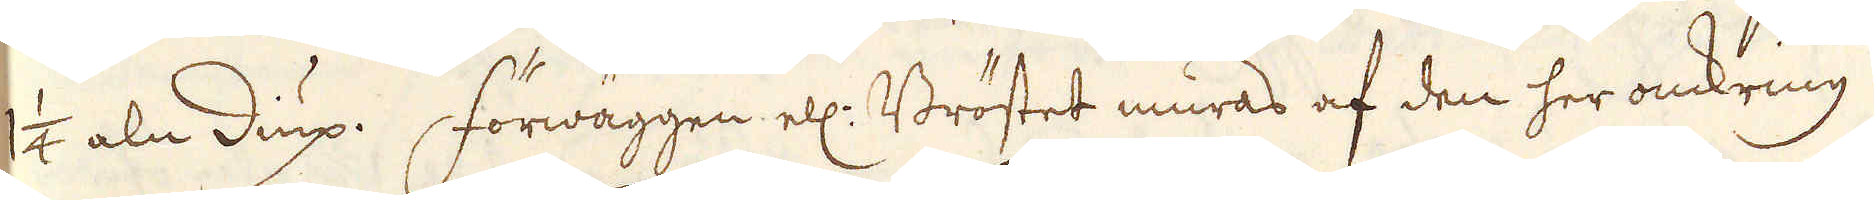1 1/4 aln diup. Förwäggen ell: Bröstet muras af den her omkring
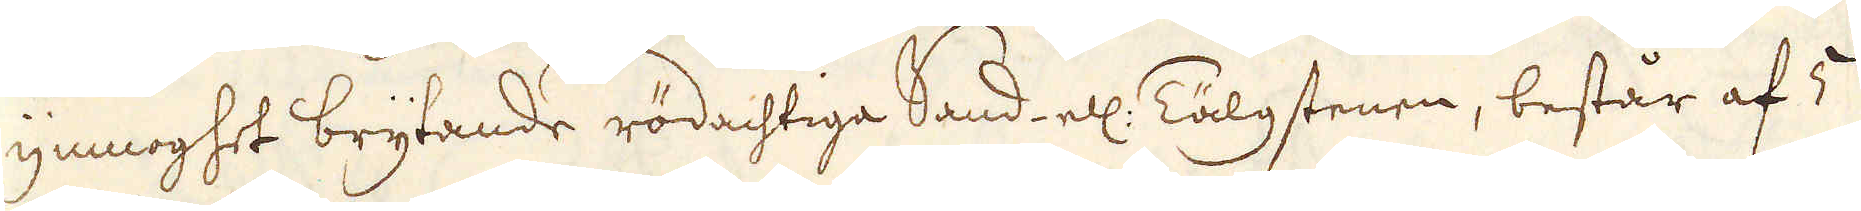i ymnoghet brytande rödachtige Sand ell: Tälgstenen, består af 5
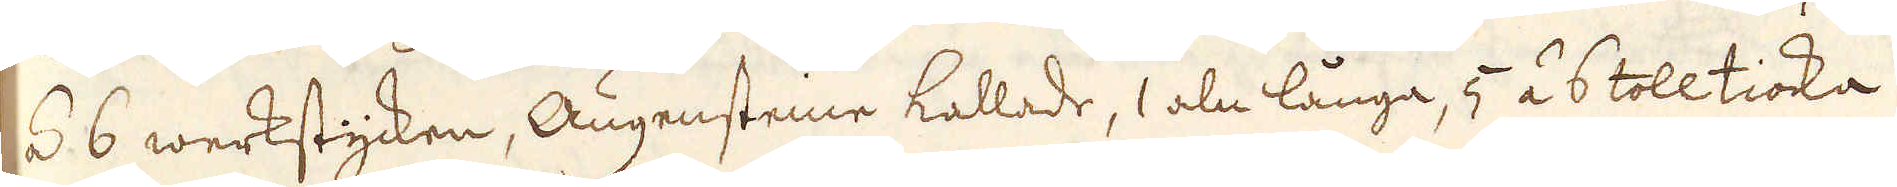á 6 werkstycken, Augensteine kallade, 1 aln långa, 5 á 6 toll tioka
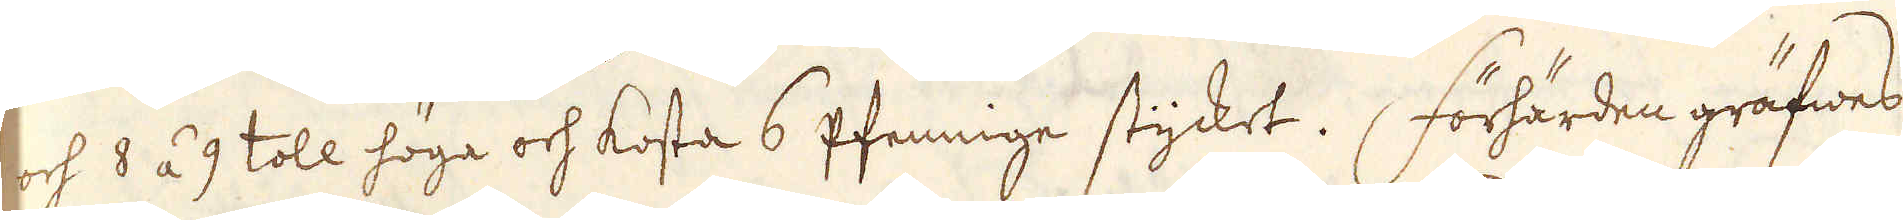och 8 á 9 toll höga och kosta 6 pfennige stycket. Förhärden gräfwes
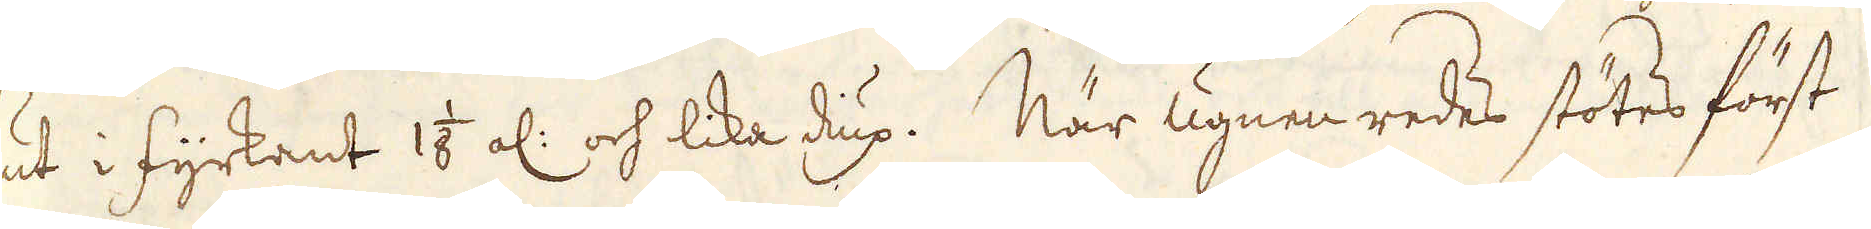ut i fyrkant 1 1/8 al: och lika dup. När ugnen redes stötes först
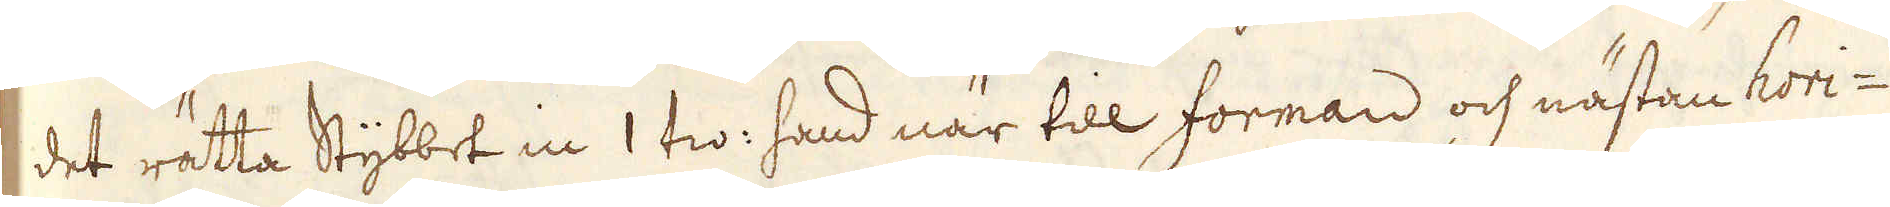det rätta Stybbet in 1 tw: hand när till forman och nästan hori-
